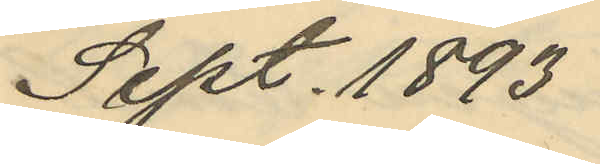Sept. 1893
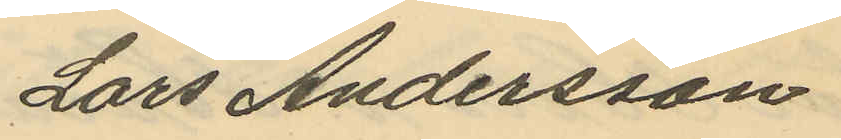Lars Andersson
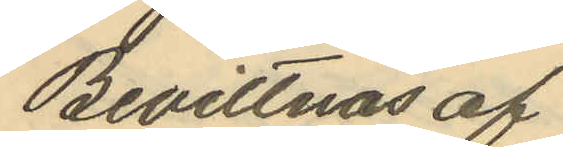Bevittnas af
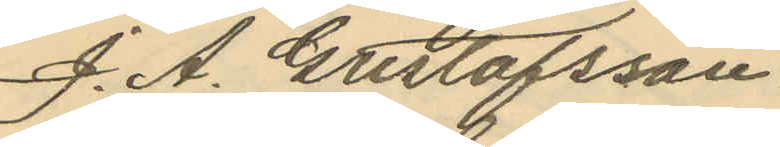J. A. Gustafsson
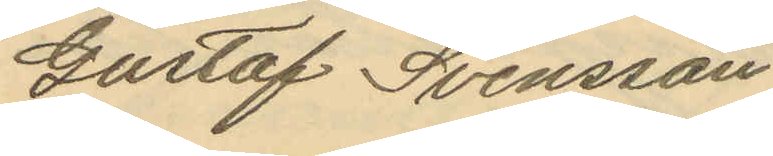Gustaf Svensson
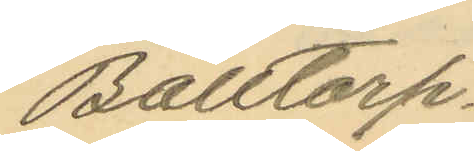Balltorp.
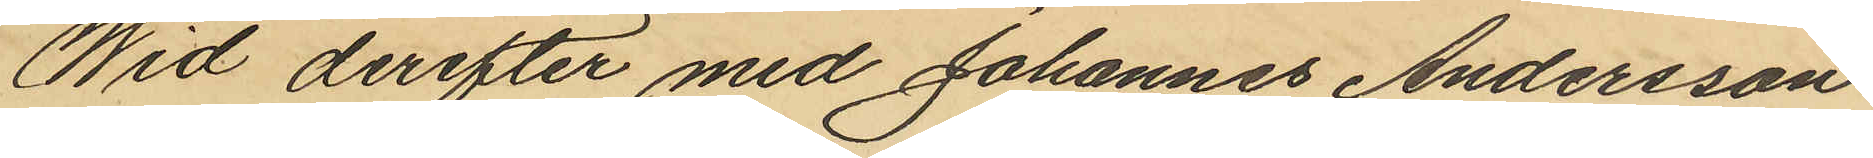Wid derefter med Johannes Andersson
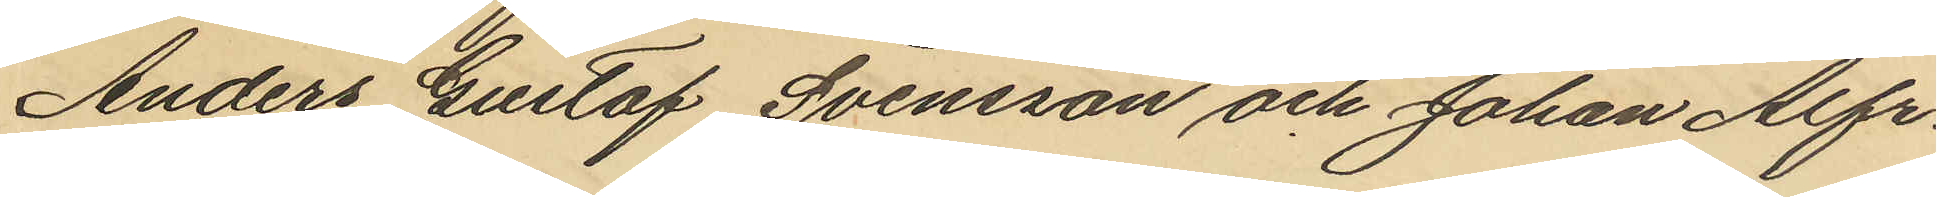Anders Gustaf Svensson och Johan Alfr¬
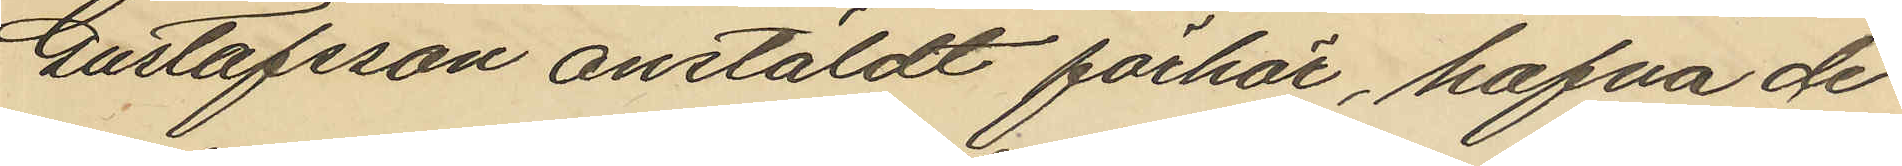Gustafsson anstäldt förhör, hafva de
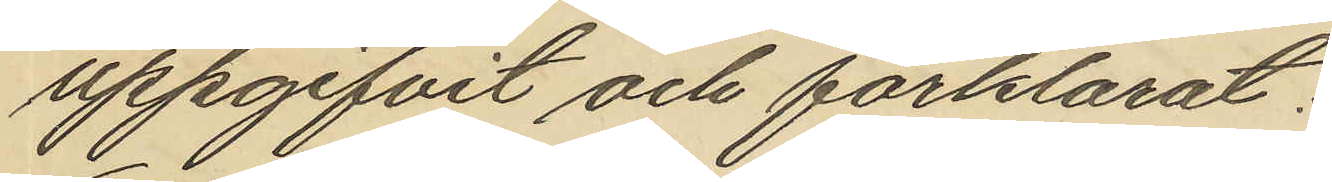uppgifvit och förklarat:
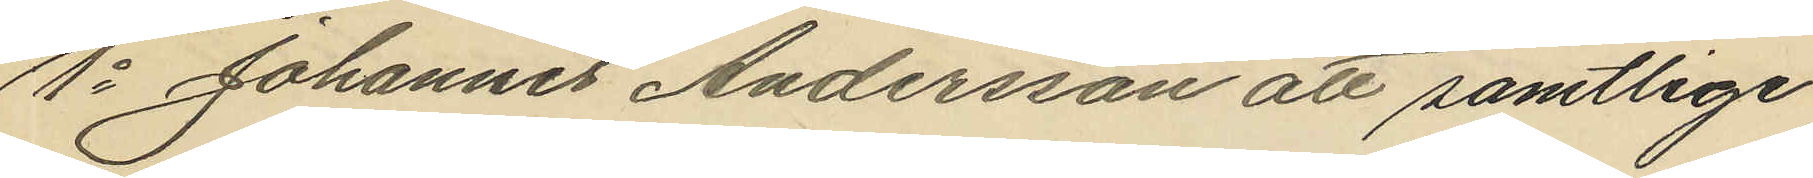1o Johannes Andersson att samtlige
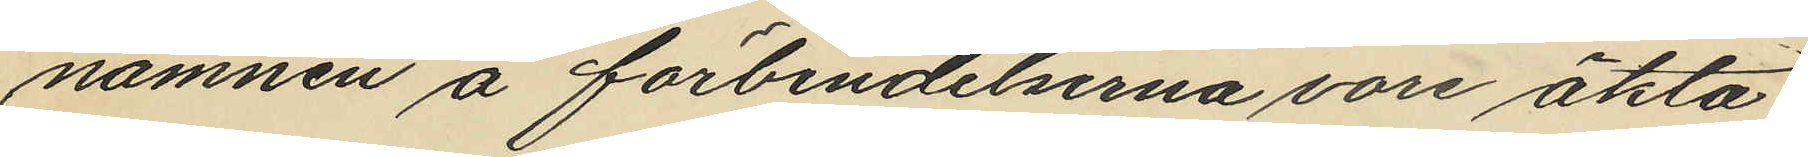namnen å förbindelserna vore äkta,
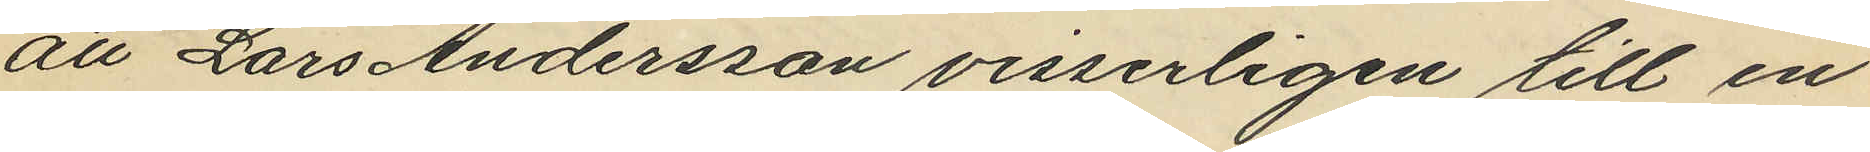att Lars Andersson visserligen till en
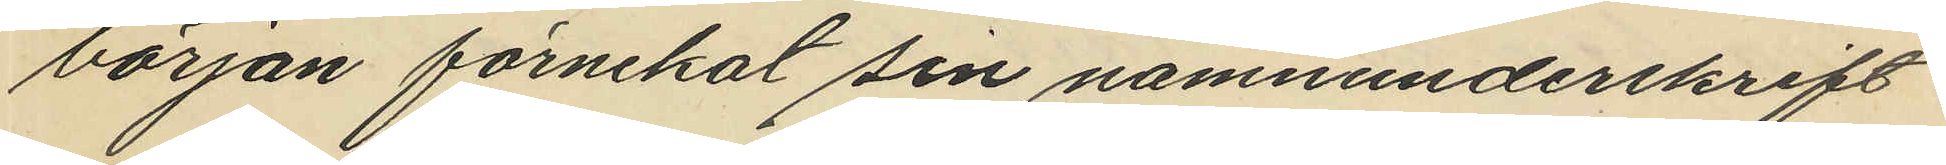början förnekat sin namnunderskrift
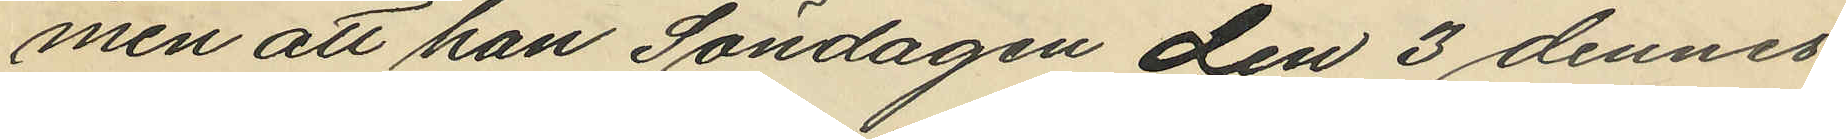men att han Söndagen den 3 dennes
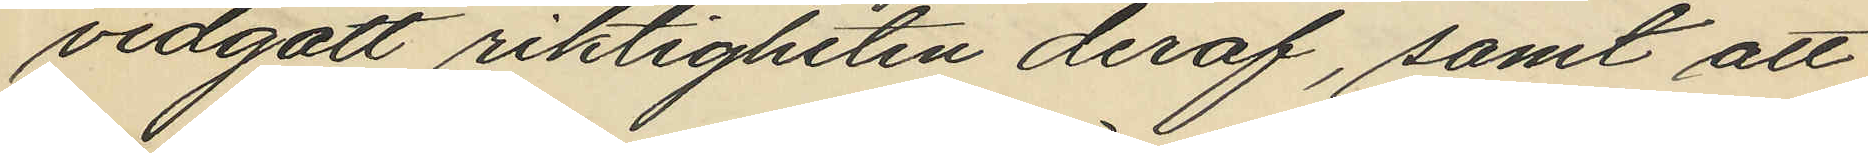vidgått riktigheten deraf, samt att
